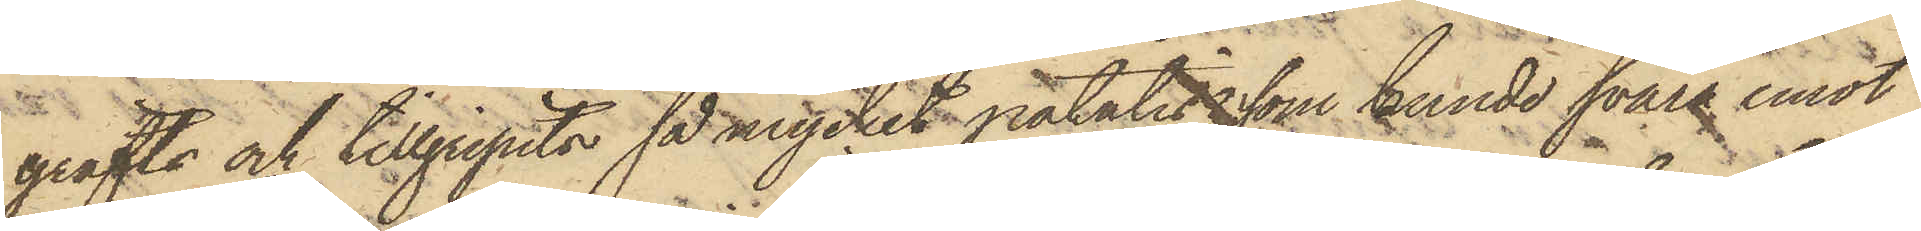gräfts och tillgripits så mycket potatis, som kunde svara emot
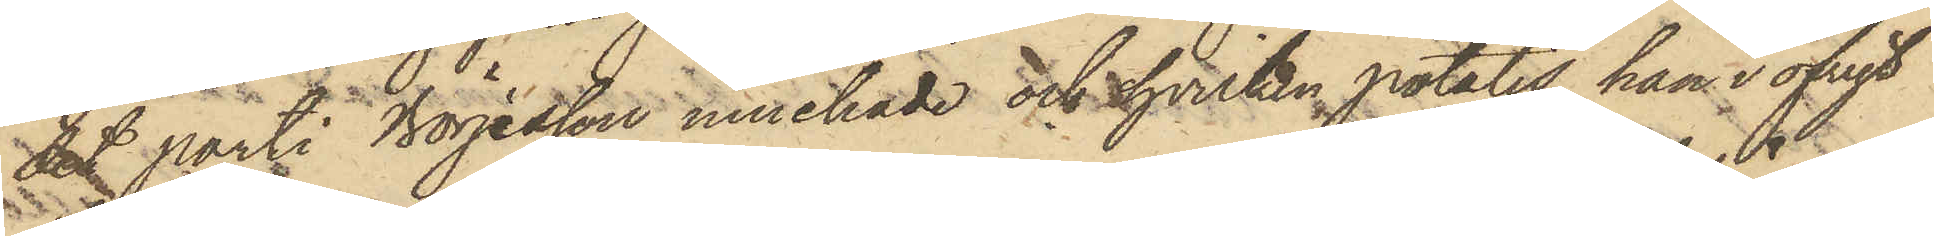det parti Börjesson innehade och hvilken potatis han i öfrigt
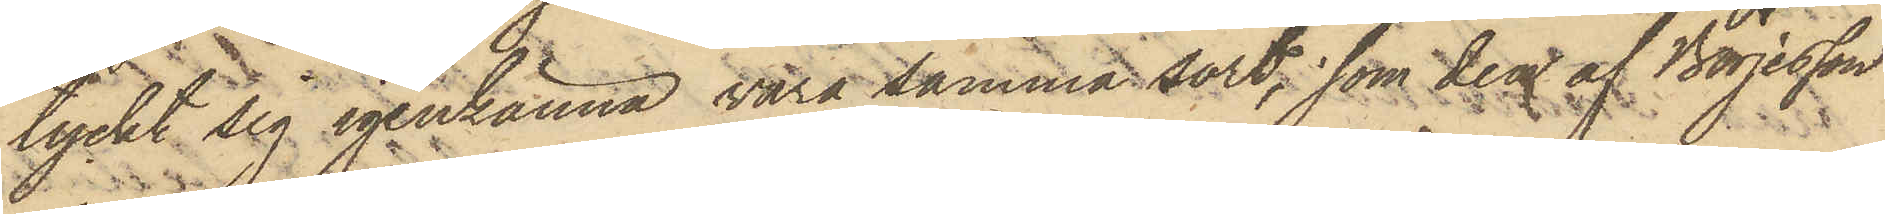tyckt sig igenkänna vara samma sort, som den af Börjesson
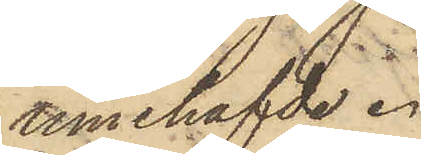innehafde.
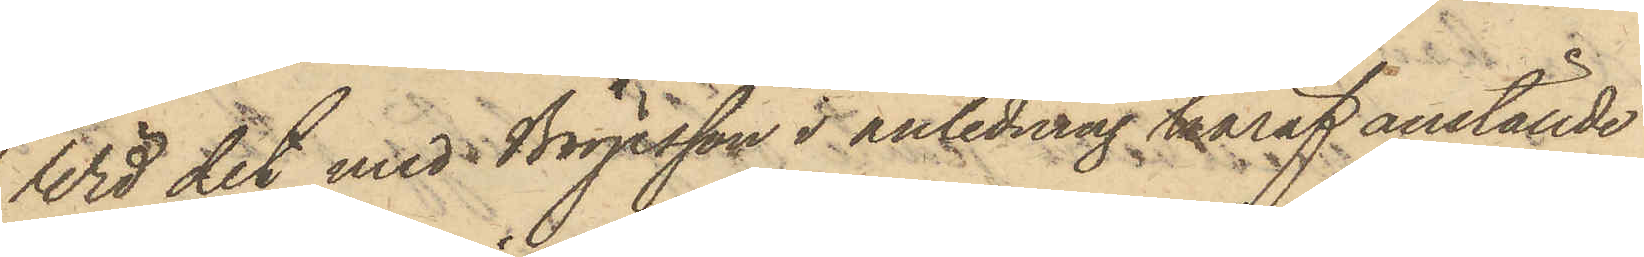Vid det med Börjesson i anledning häraf anställde
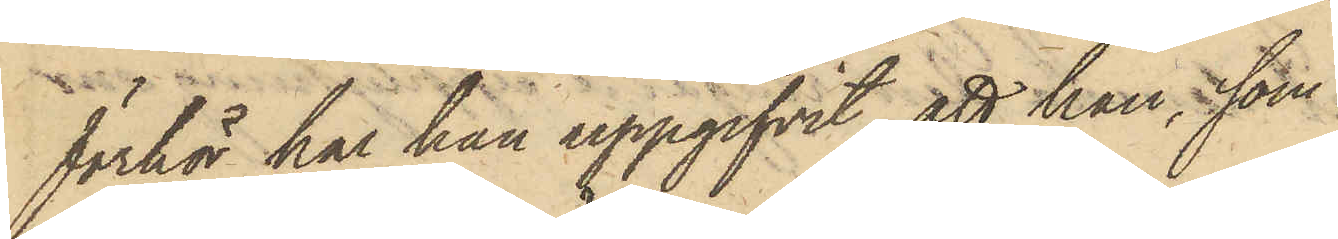förhör har han uppgifvit, att han, som
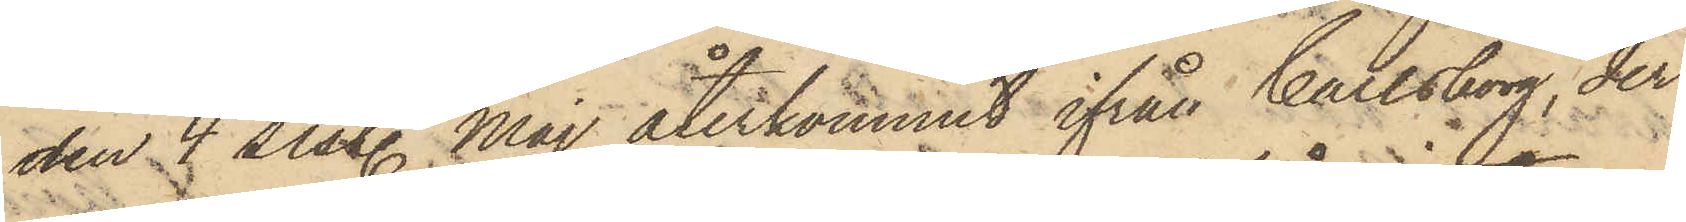den 4 sistl. Maj återkommit ifrån Carlsborg, der
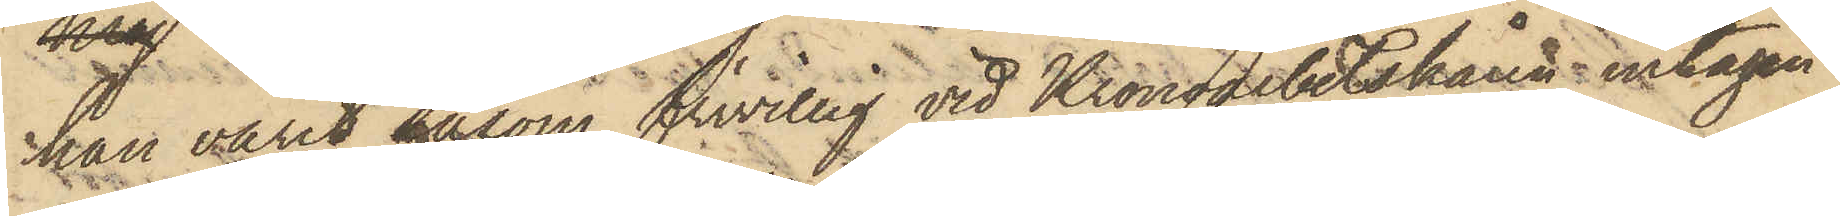han varit såsom frivillig vid Kronoarbetskåren intagen,
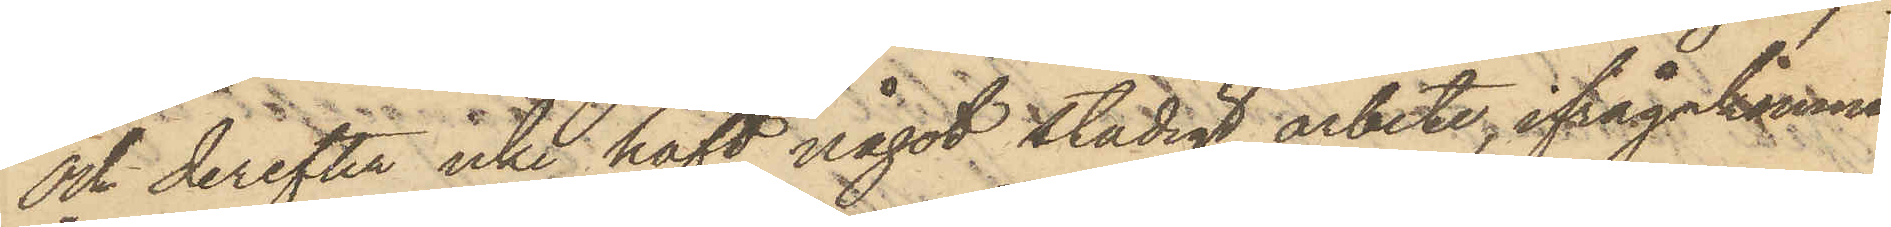och derefter icke haft något stadigt arbete, ifrågakomne
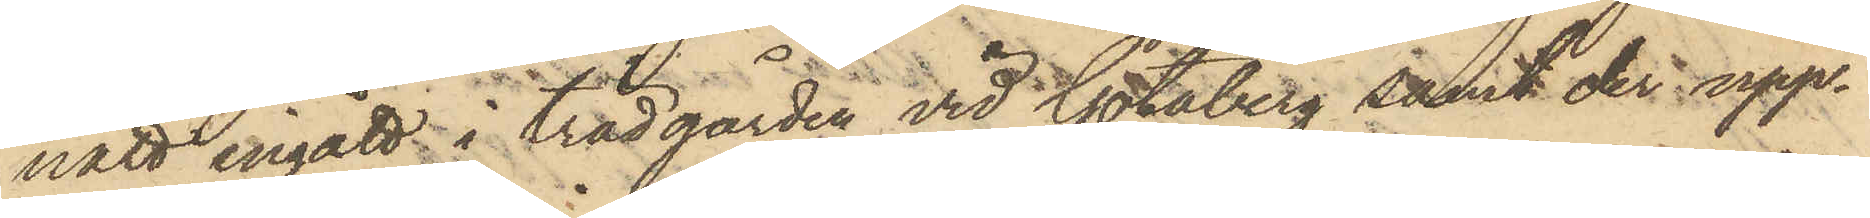natt ingått i trädgården vid Götaberg samt der upp¬
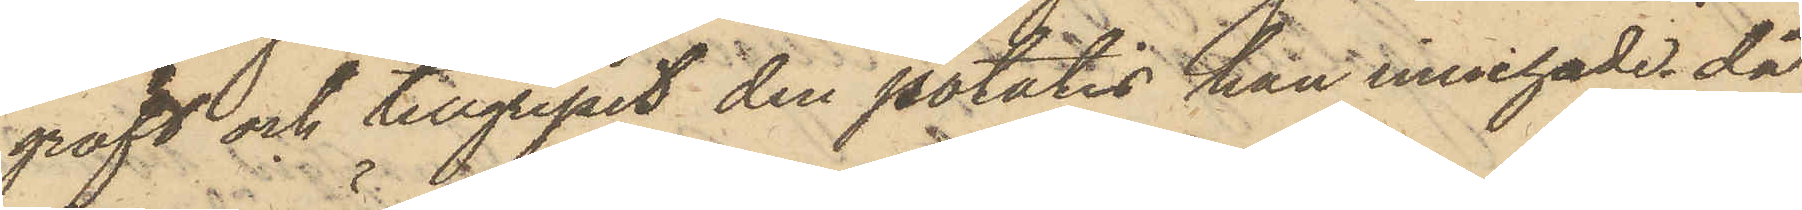gräft och tillgripit den potatis han innehade då
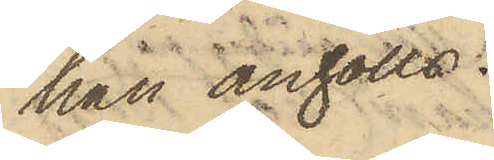han anhölls.
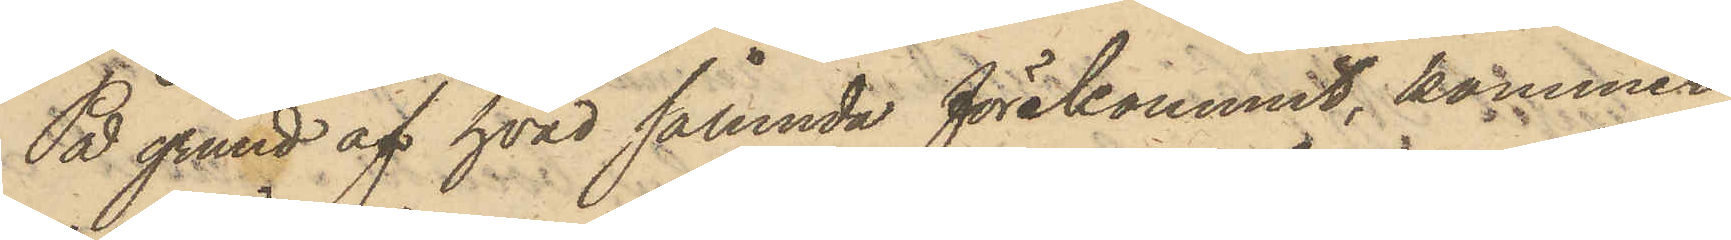På grund af hvad sålunda förekommit, kommer
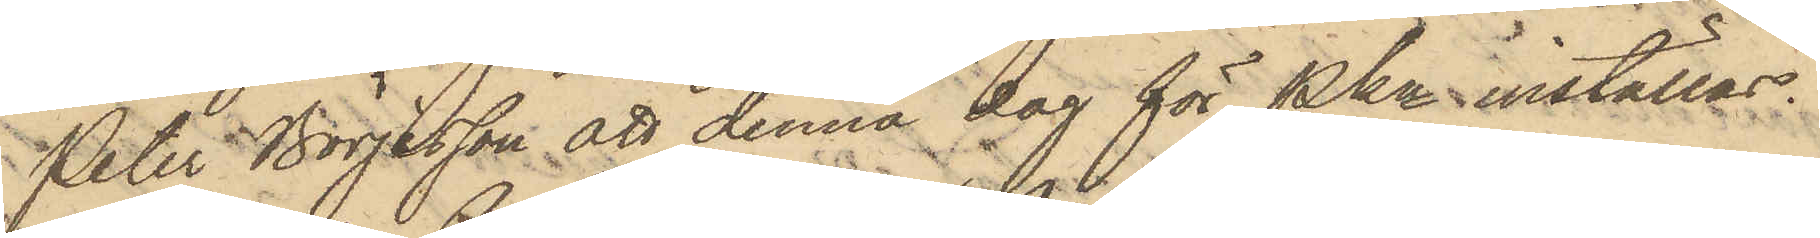Peter Börjesson att denna dag för Pkn inställas.
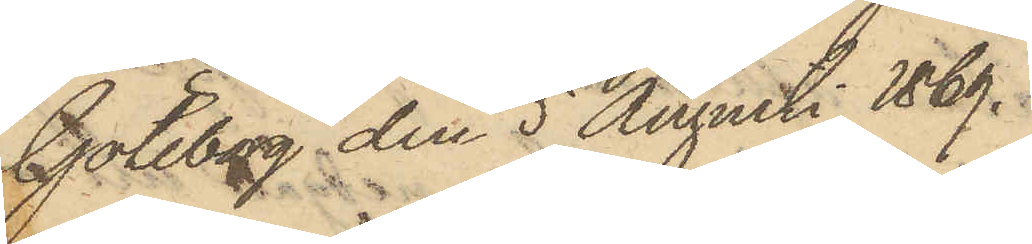Göteborg den 5 Augusti 1869.
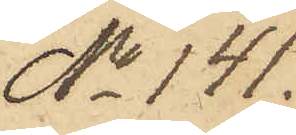No 141.
